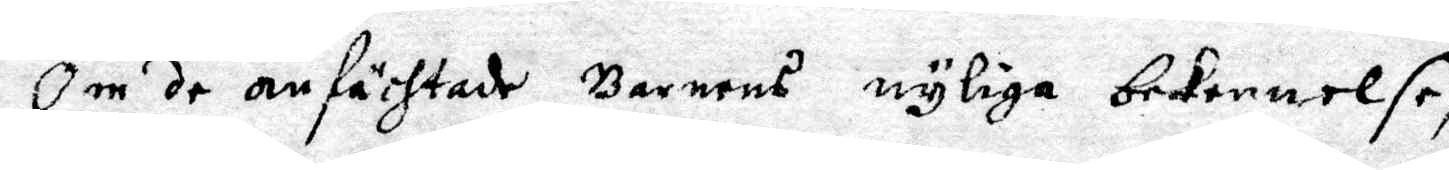Om de anfächtade Barnens nyliga bekennelse,
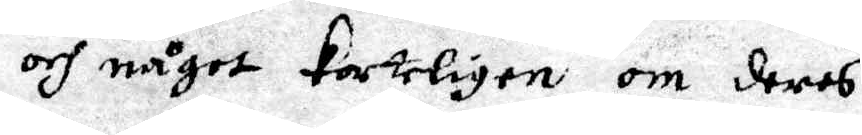och något korteligen om deras
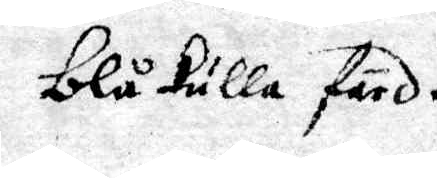blåkulla färd.
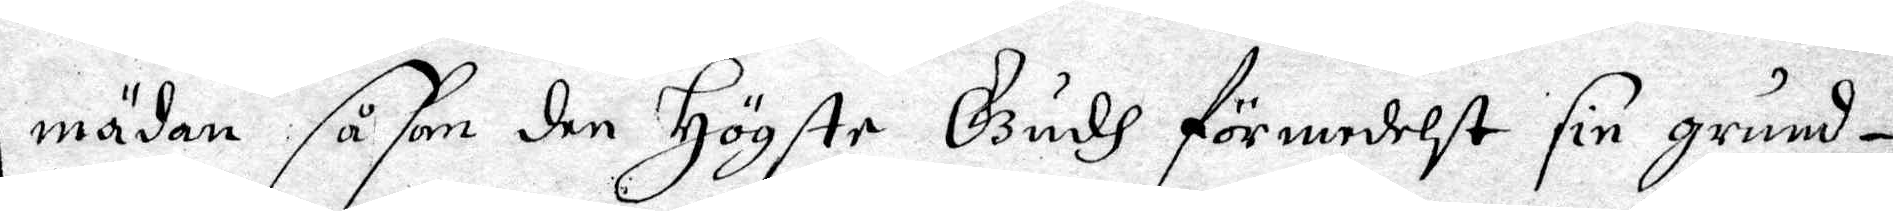Emädan såsom den Högste Gudh förmedelst sin grund¬
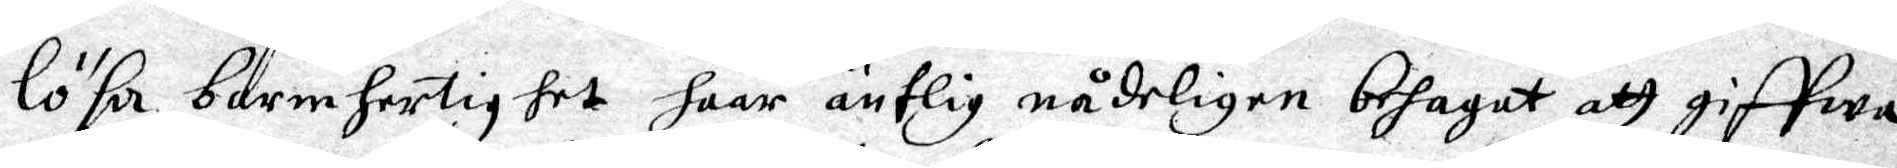lösa barmhertighet haar äntlig nådeligen behagat att giffwa
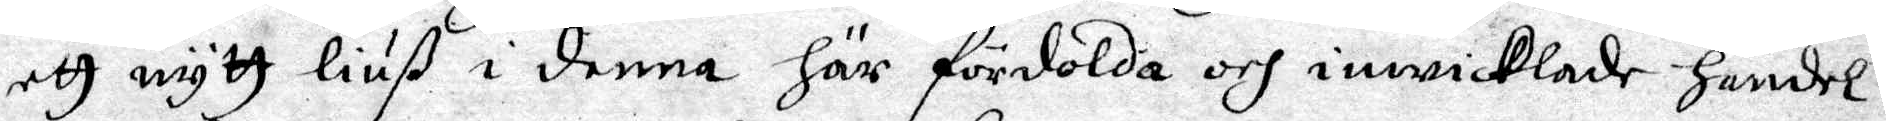ett nytt liuß i denna här fördolda och inwicklade handel:
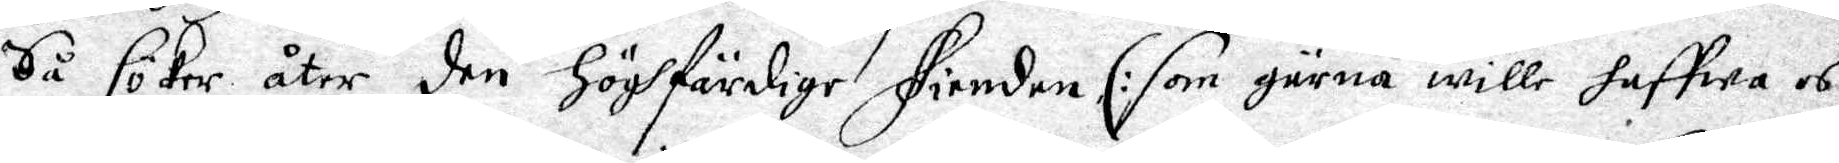Så söker åter den höghfärdige Fienden, /: som gärna wille haffwa os
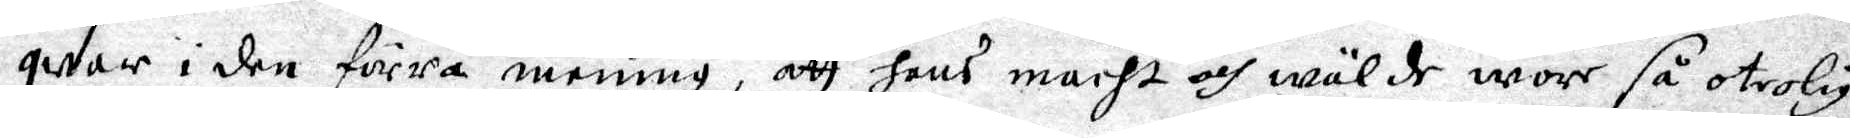qwar i den förra mening, att hans macht och wälde wore så otrolig
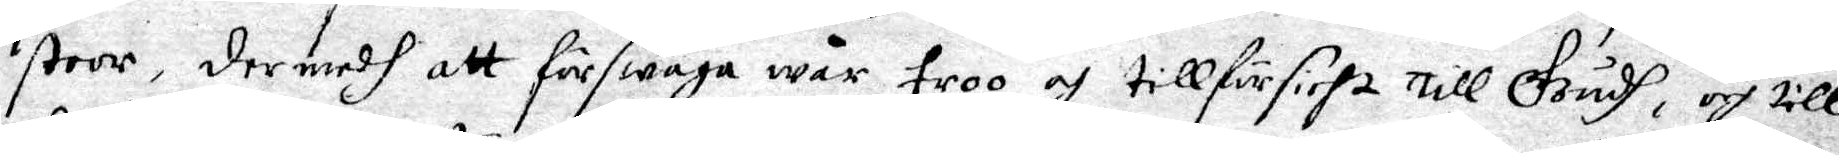stoor, dermedh att förswaga wår troo och tillförsicht till Gudhh, och till¬
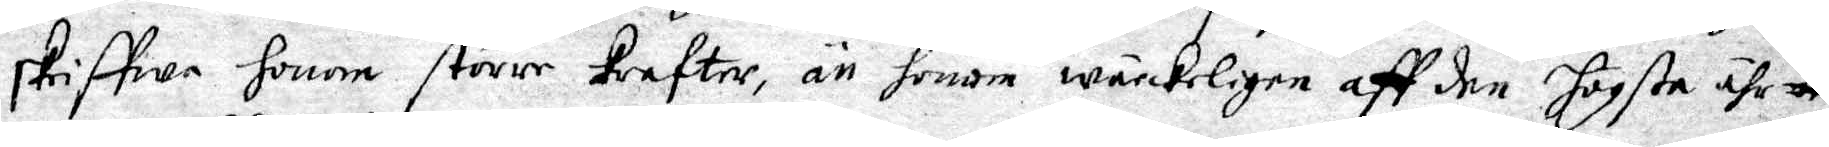skriffwe honom större krafter, än honom wärckeligen aff den Högsta ähr
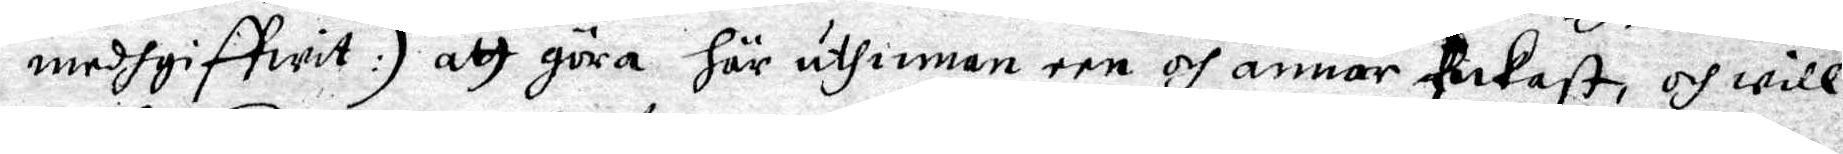medgiffwit :/ att göra här uthinnan een och annor Pukast, och will
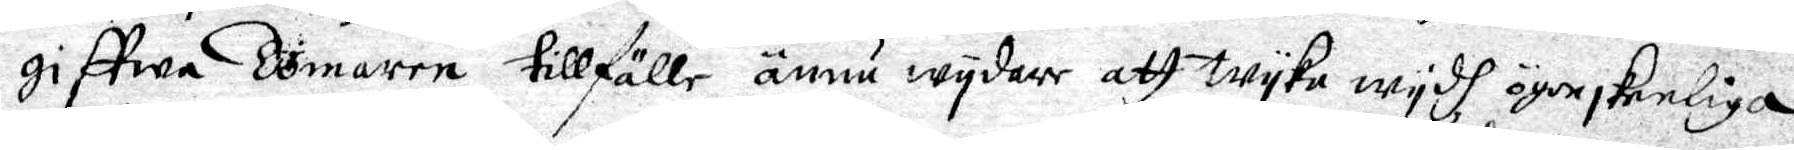giffwa Domaren tillfälle ännu wydre att wyka ögonskeliga
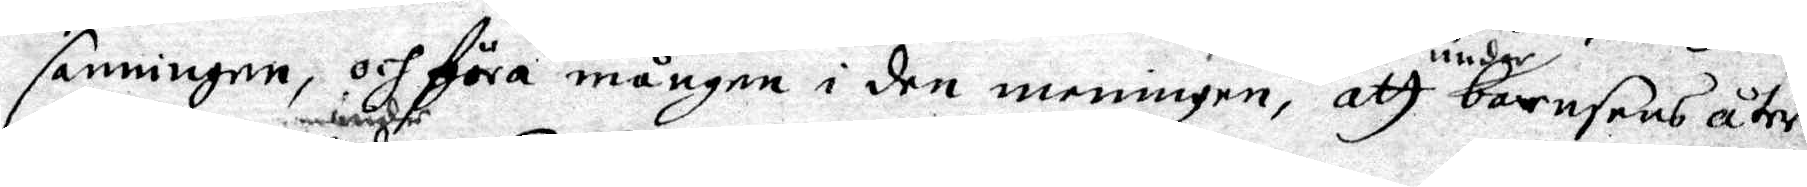sanningen, och föra mången i den meningen att under barnsens åter¬
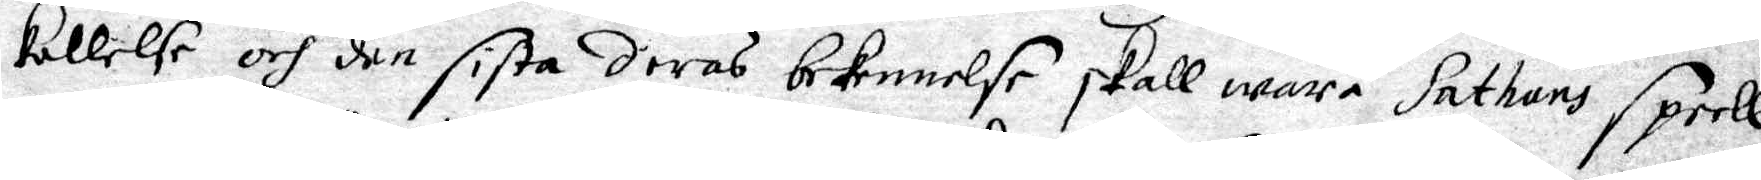kallelse och under den sista deras bekennelse skall wara Sathans Spell,
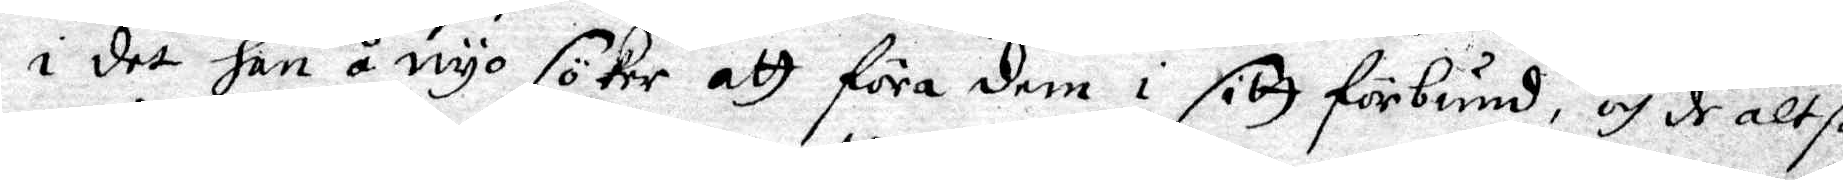i det han å nyo söker att föra dem i sitt förbund, och de altså
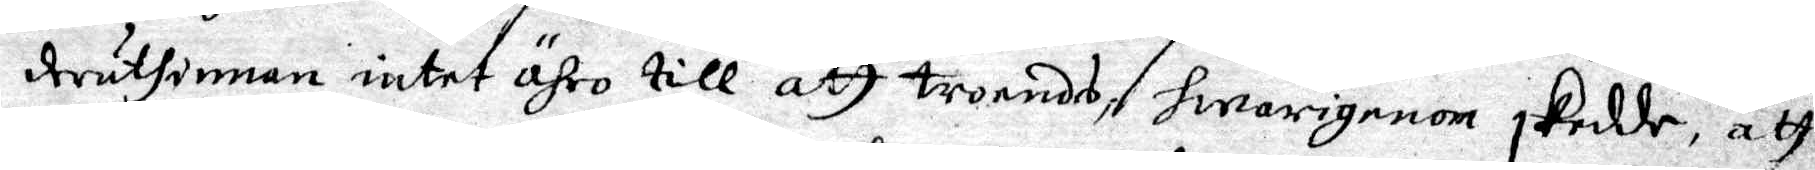deruthinnan intet ähro till att troendes, hwarigenom skedde att
